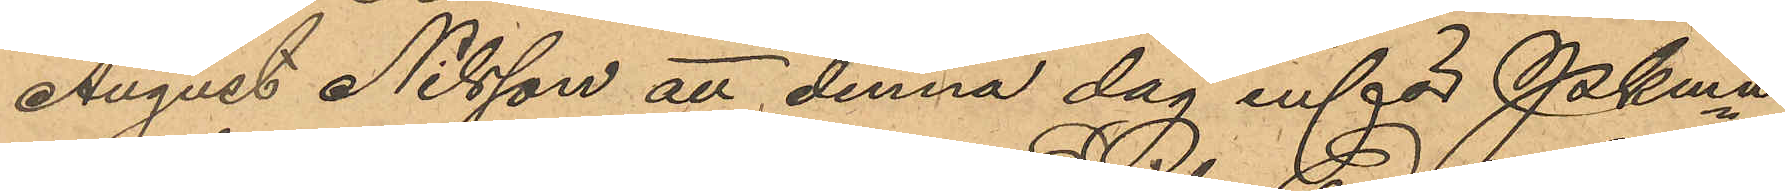August Nilsson att denna dag inför Pkmn
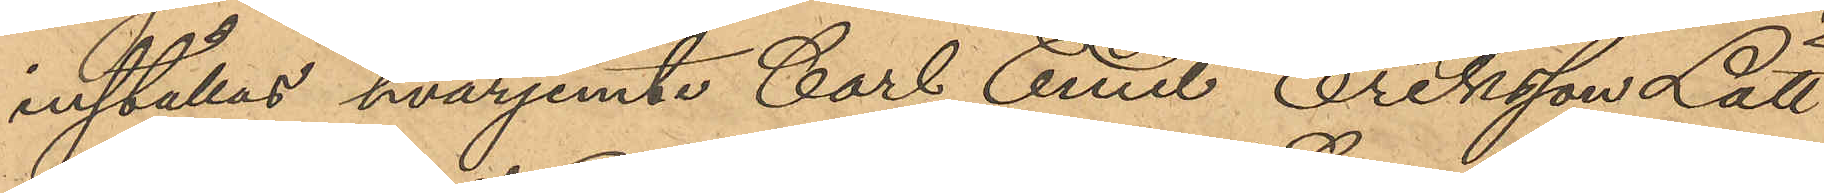inställas, hvarjemte Carl Emil Eriksson Lätt
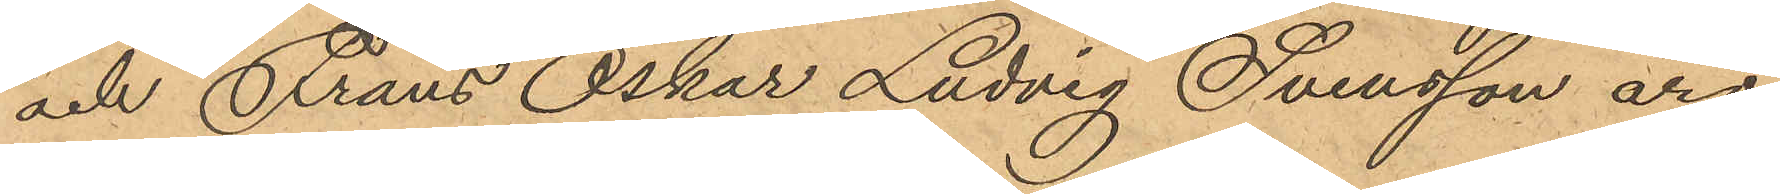och Frans Oskar Ludvig Svensson äro
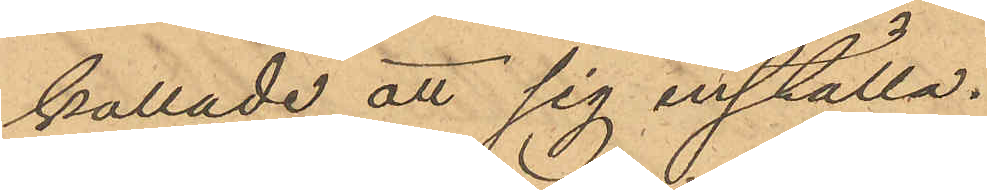kallade att sig inställa.
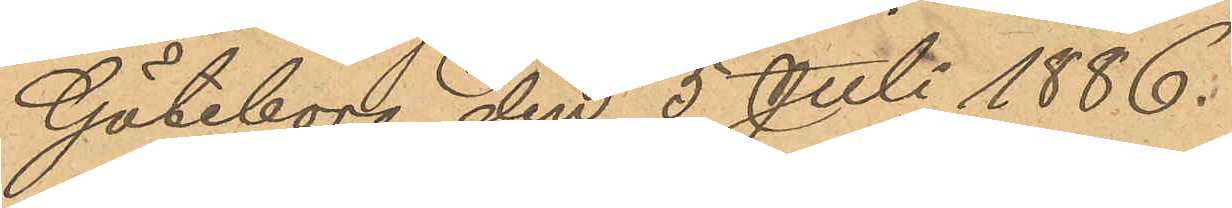Göteborg den 5 Juli 1886.
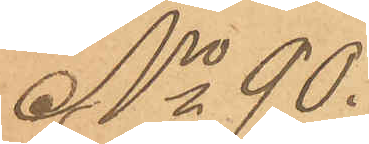No 90.
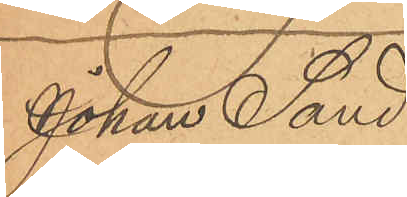Johan Sand¬
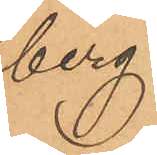berg
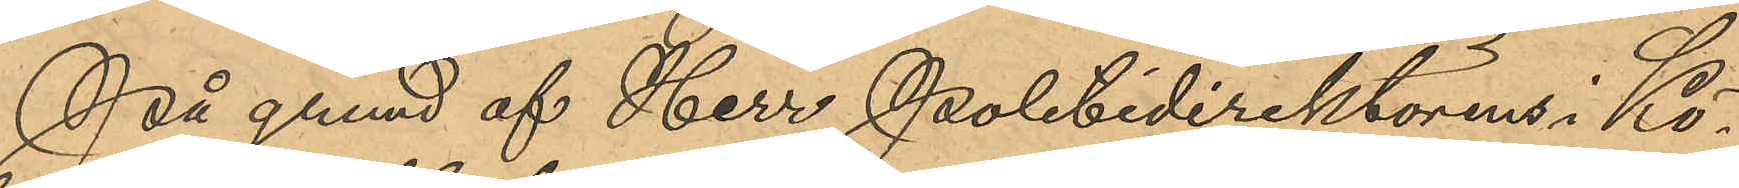På grund af Herr Politidirektörens i Kö¬
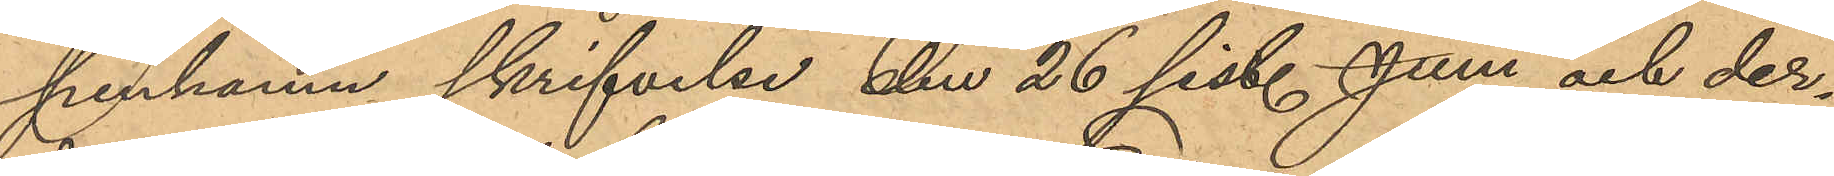penhamn skrifvelse den 26 sist. Juni och der¬
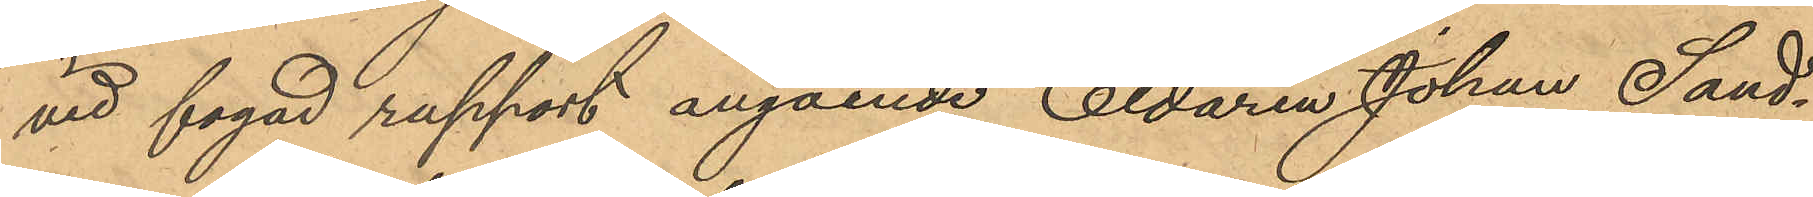vid fogad rapport angående Eldaren Johan Sand¬
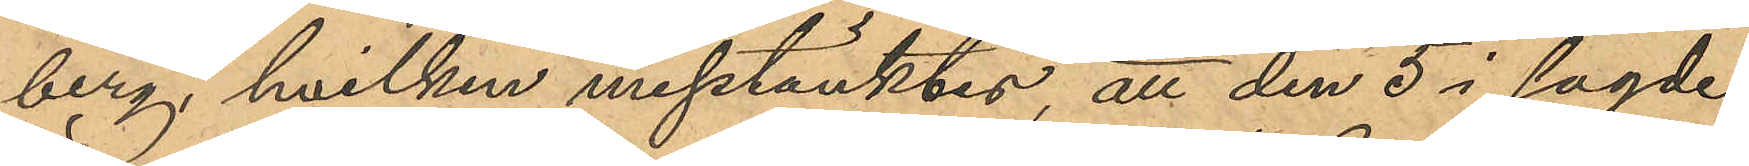berg, hvilken misstänktes, att den 5 i sagde
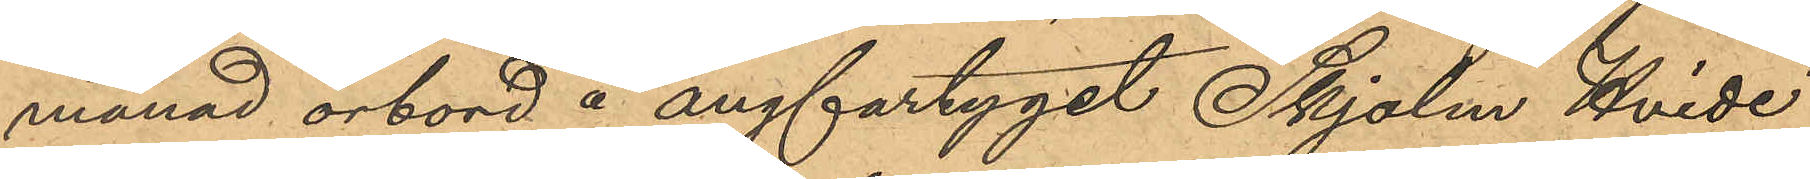månad ombord å ångfartyget "Skjolm Hvide"
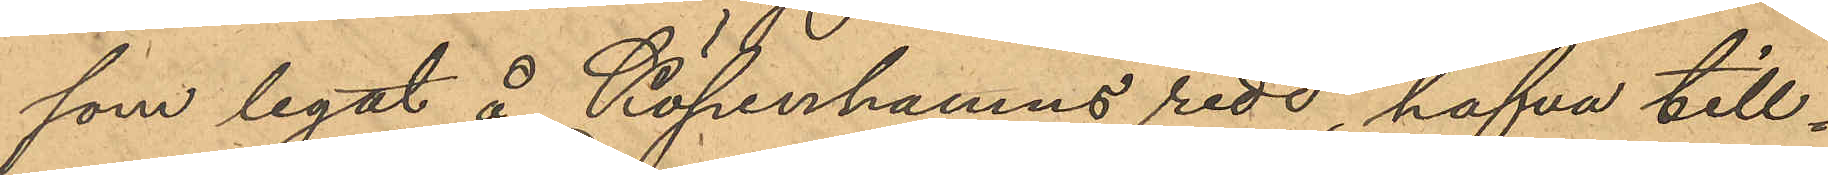som legat å Köpenhamns redd, hafva till¬
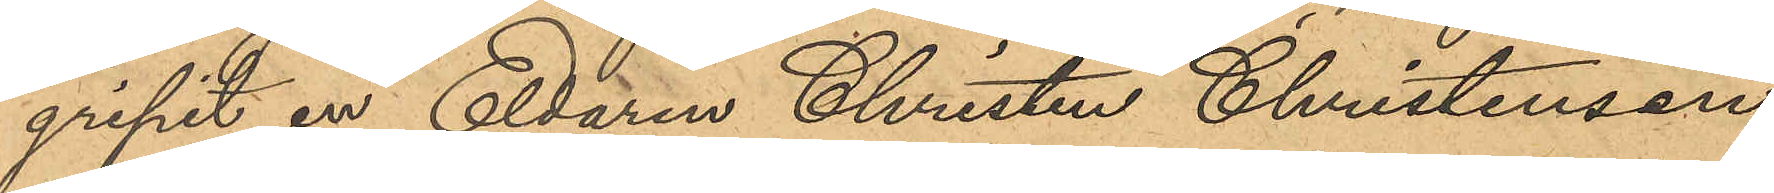gripit en Eldaren Christen Christensen
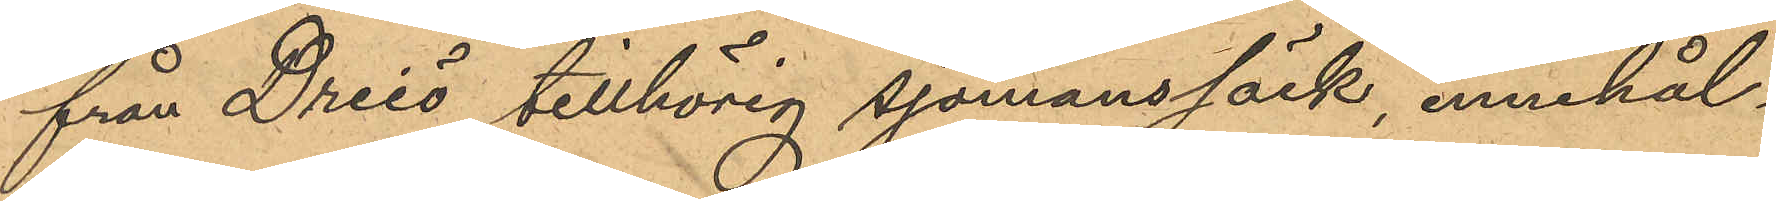från Dreiö tillhörig sjömanssäck, innehål¬
